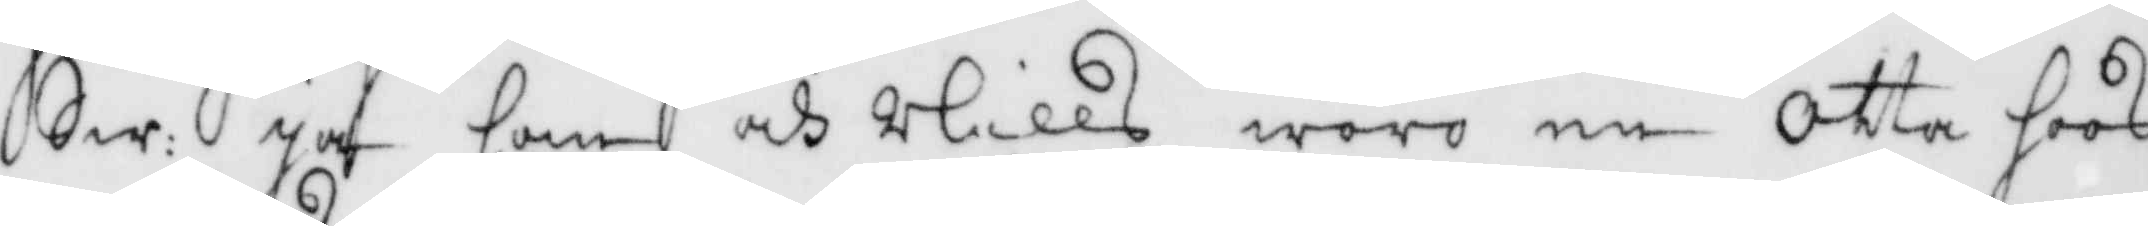Sw: Ja som och Nills woro en Otta hoos
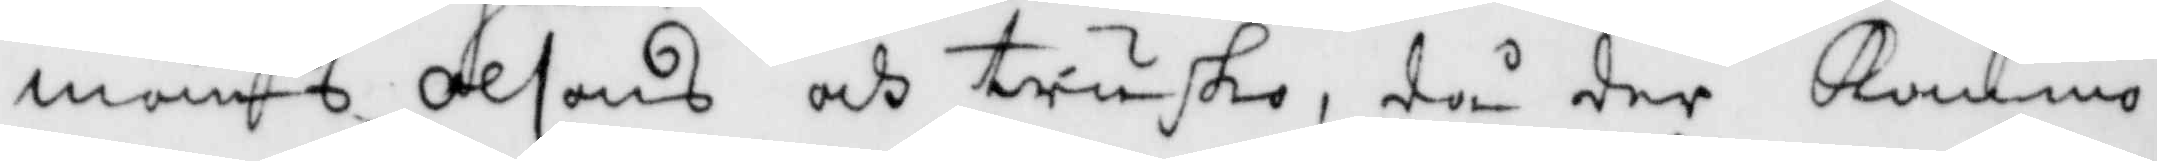måns Olsons och trusko, då der Kommo
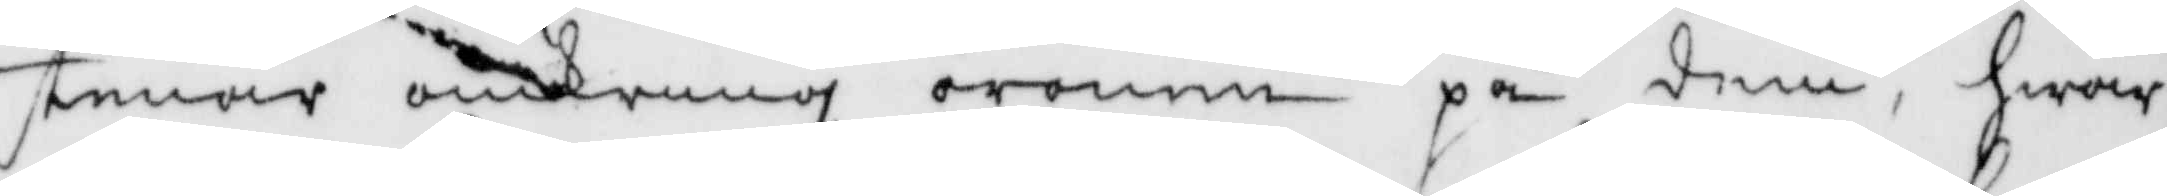stenar omkring öronen på dem, hwar
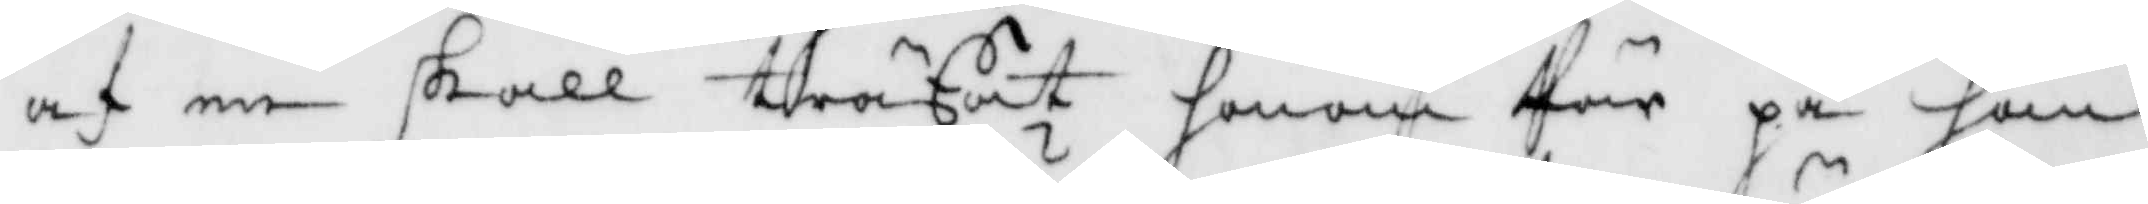af en skall träffat honom Pär på han¬
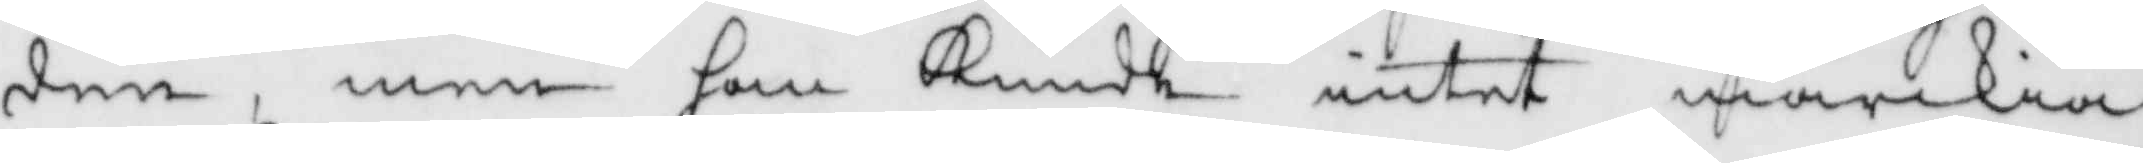den, men han Kunde intet märkia
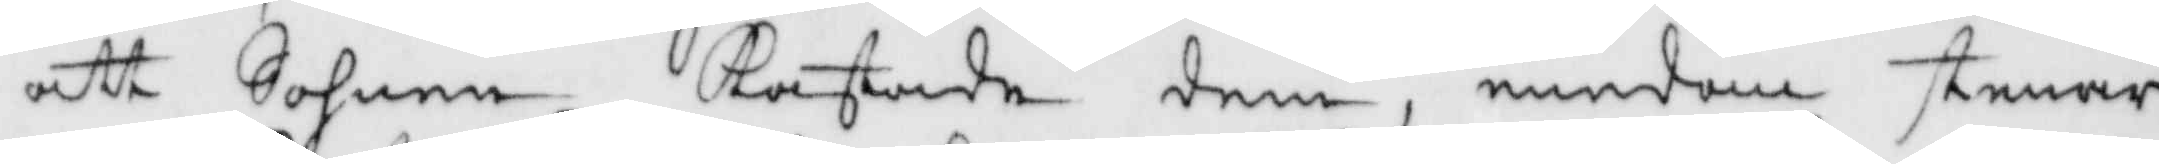att Sohnen Kastade dem, emedan stenar¬
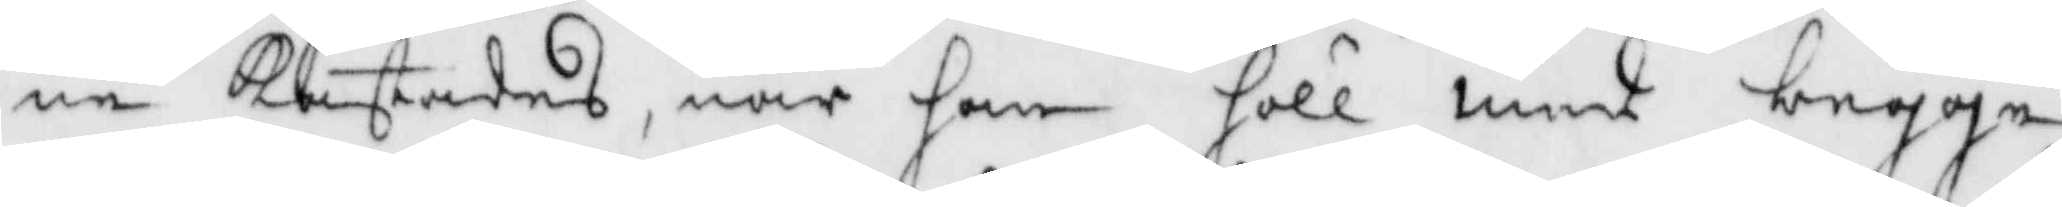ne Kastades, när han höll med begge
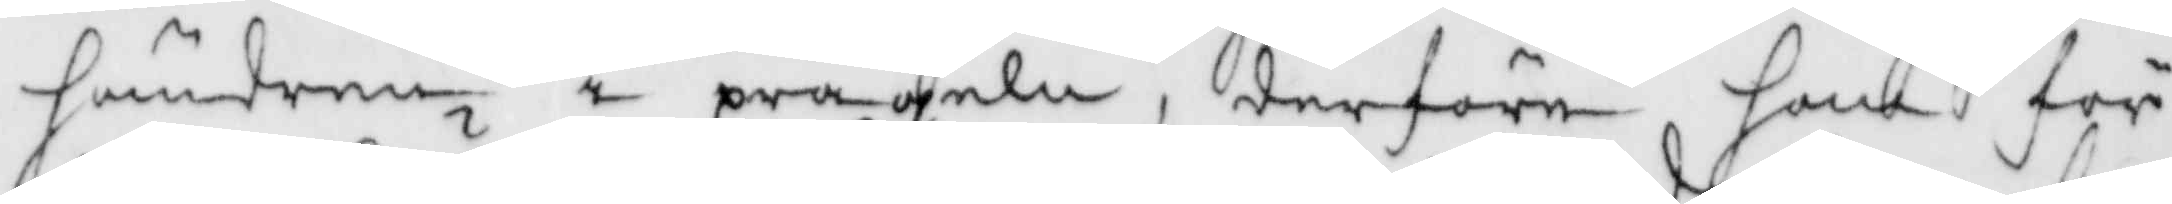händerne i prägeln, derföre han för
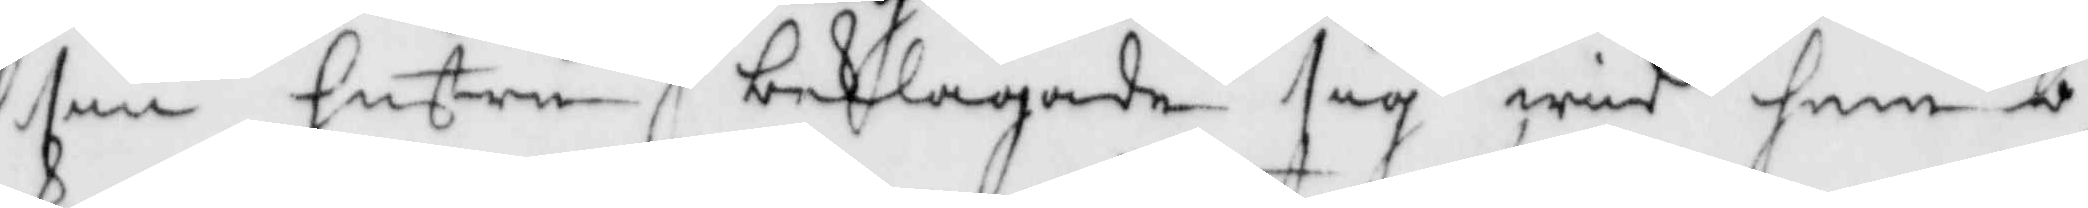sin hustru beklagade sig wid hemb¬
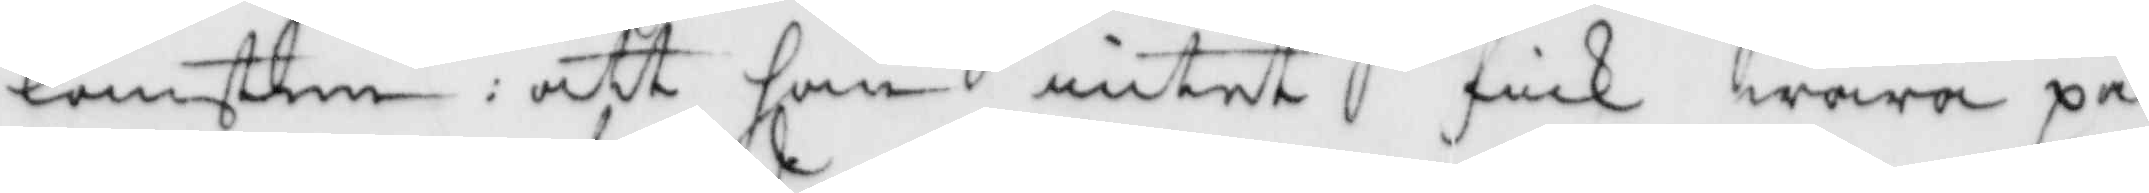komsten: att han intet fick wara på
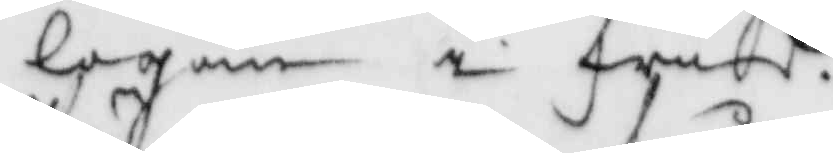logen i frid.
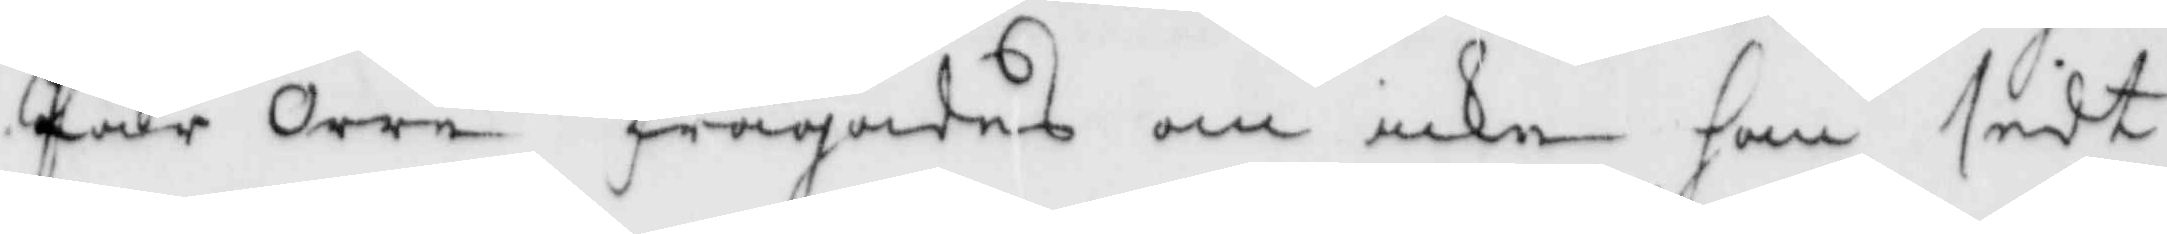Pär Orre frågades om icke han sidt
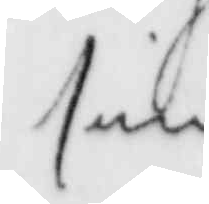sin
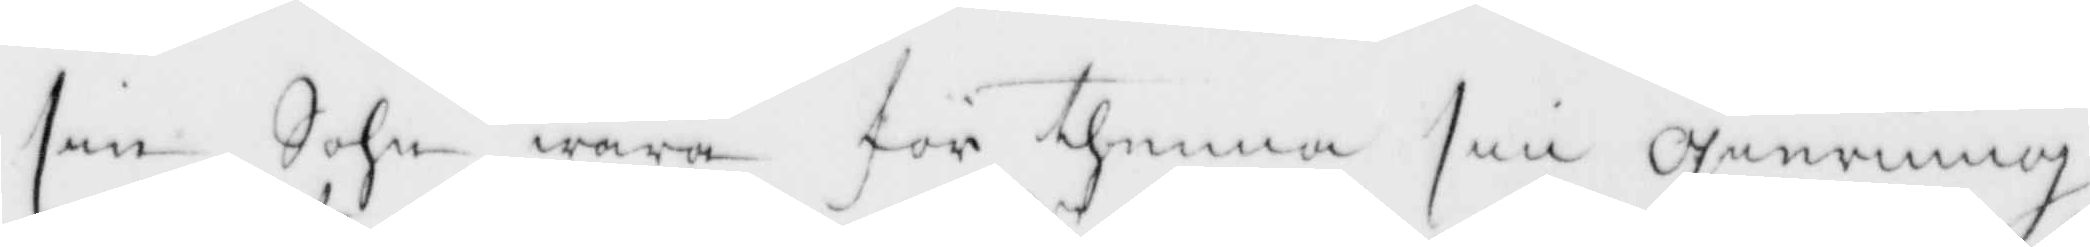sin Sohn wara för thenna sin gierning
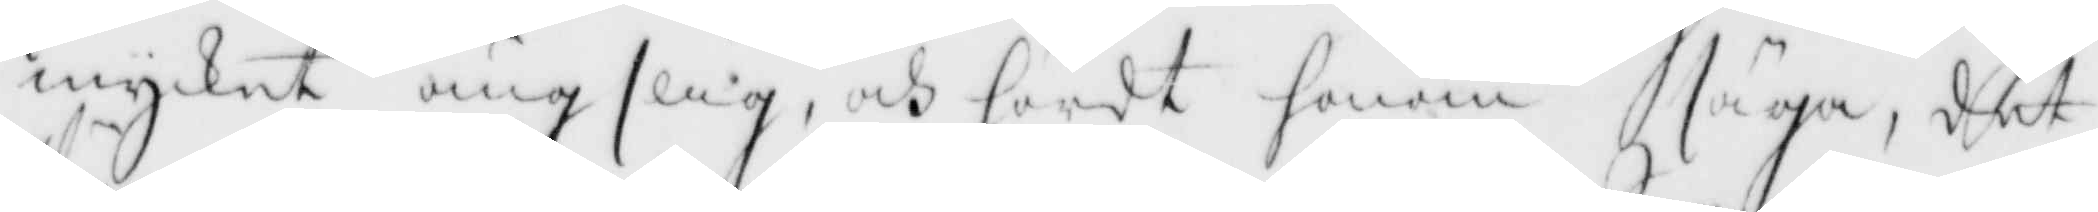mycket ängslig, och hördt honom säga, det
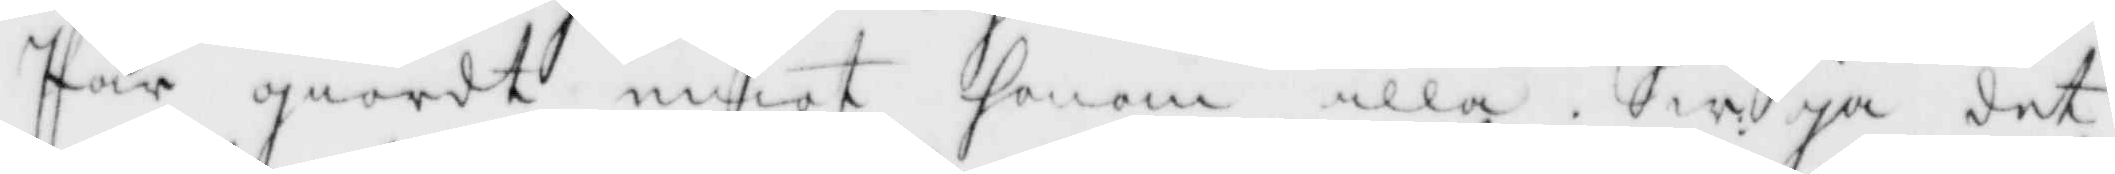Pär giordt emot honom illa. Sw. Ja det
